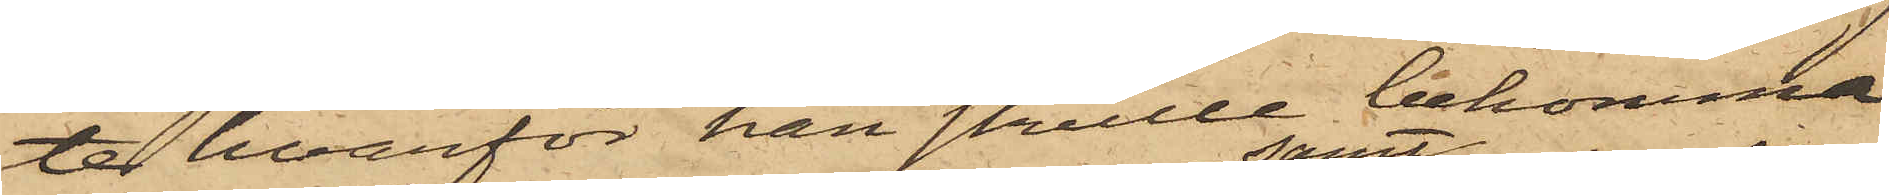te hvarför han skulle bekomma
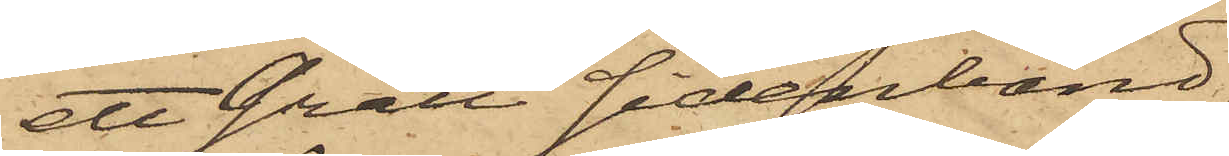ett Grått sidenband,
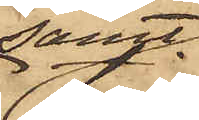samt
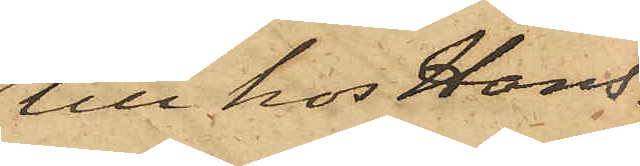till hos Hans¬
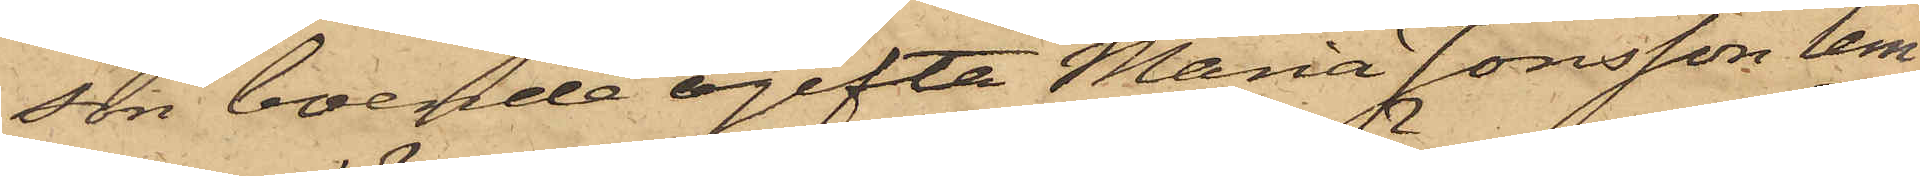son boende ogifta Maria Jonsson lem¬
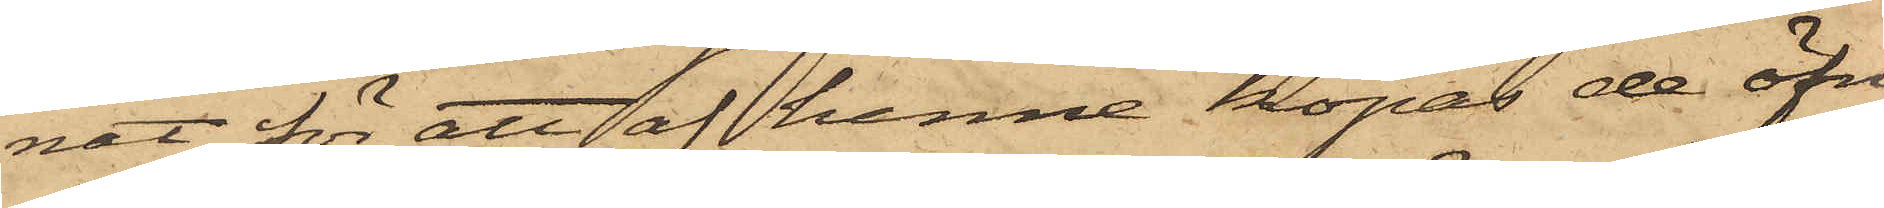nat för att af henne köpas de öfri¬
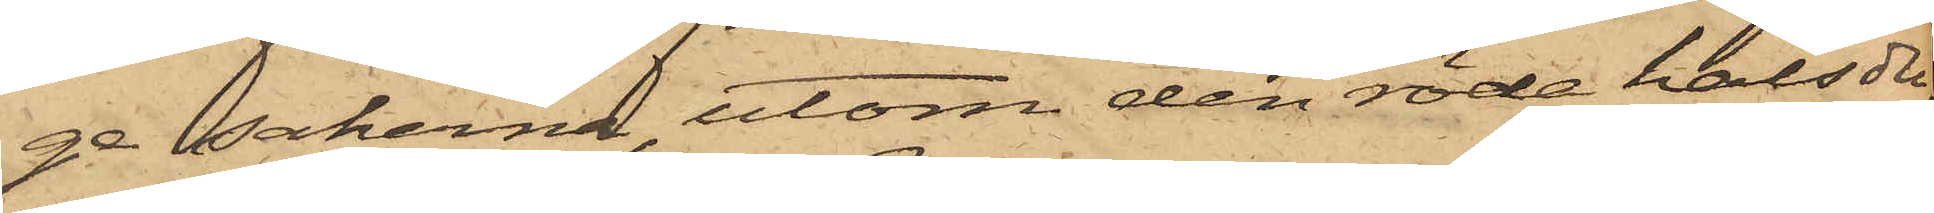ge sakerna, utom den röda halsdu¬
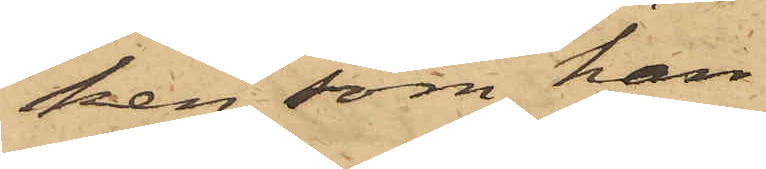ken, som han
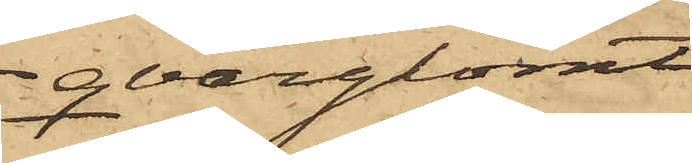qvarglömt
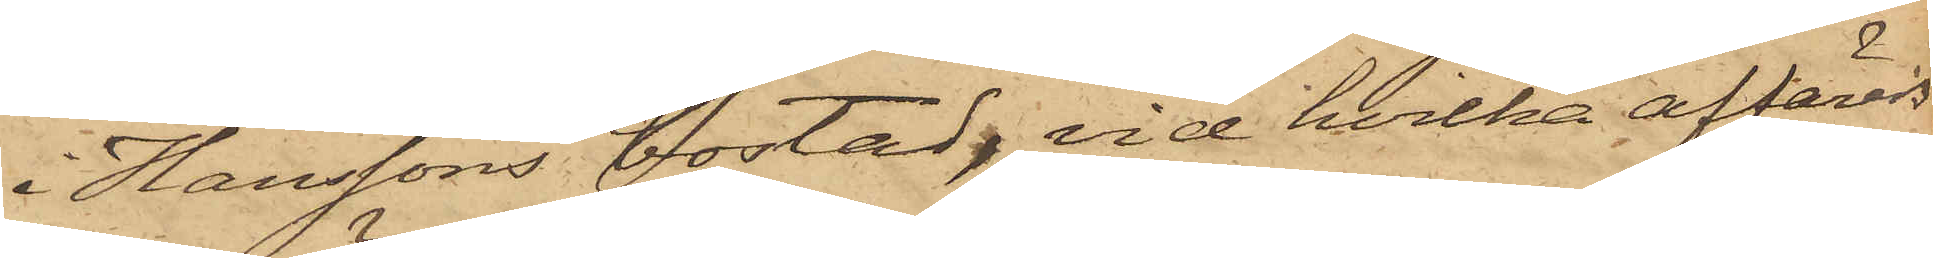i Hanssons bostad, vid hvilka affärers
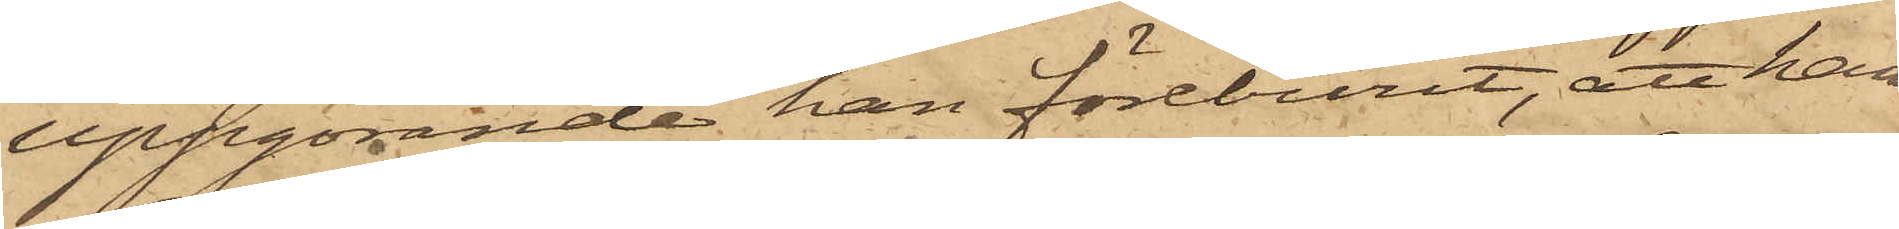uppgörande han föreburit, att han
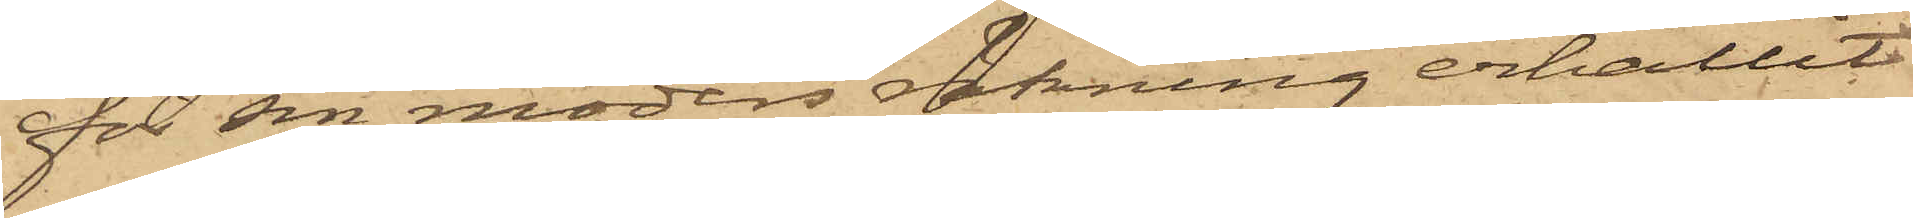för sin moders räkning erhållit
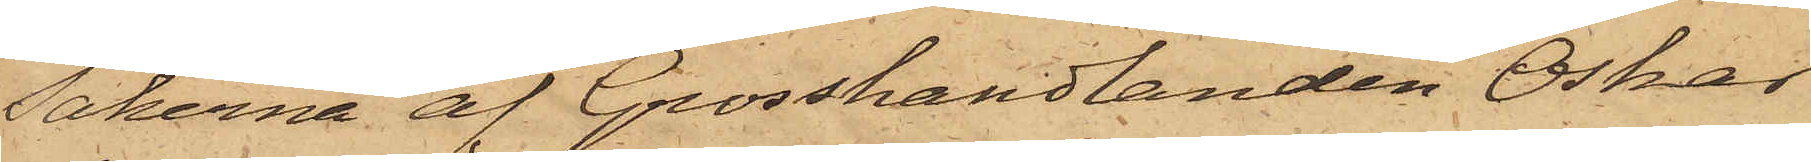sakerna af Grosshandlanden Oskar
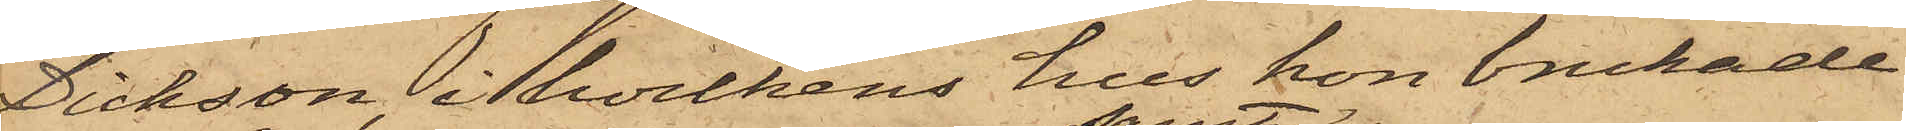Dickson, i hvilkens hus hon brukade
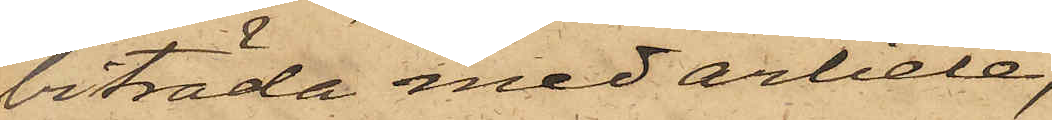biträda med arbete;
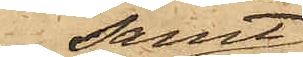samt
